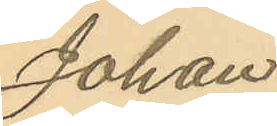Johan
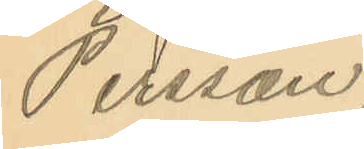Persson.
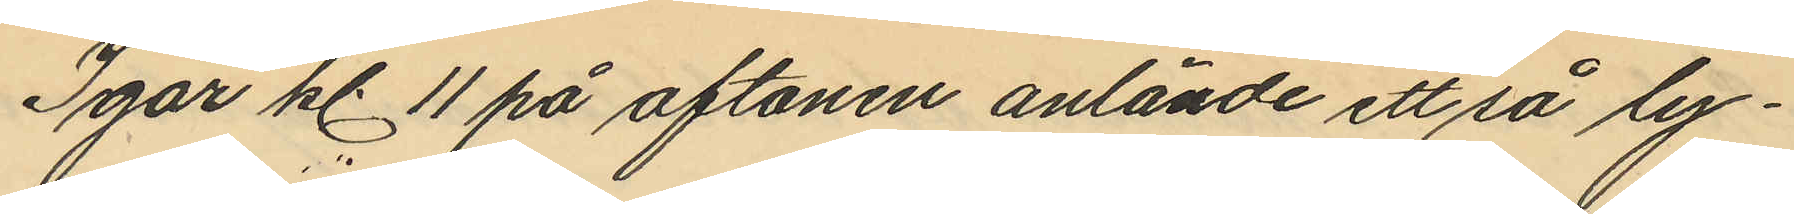Igår kl. 11 på aftonen anlände ett så ly¬
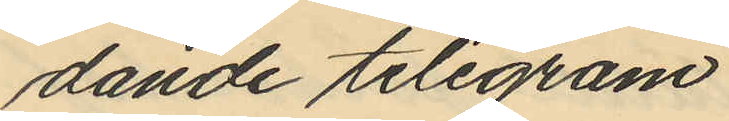dande telegram
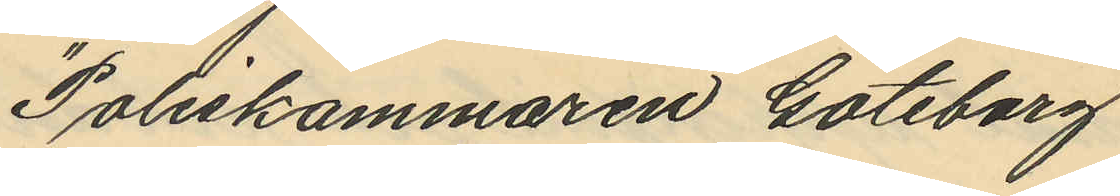"Poliskammaren Göteborg
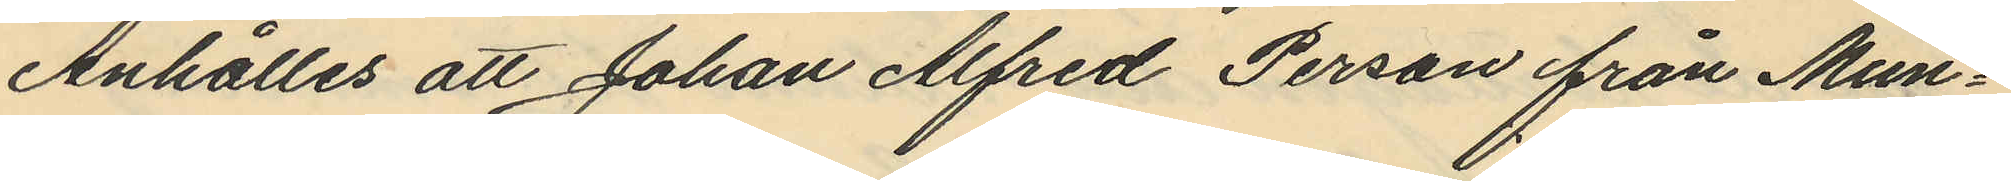Anhålles att Johan Alfred Person från Mun¬
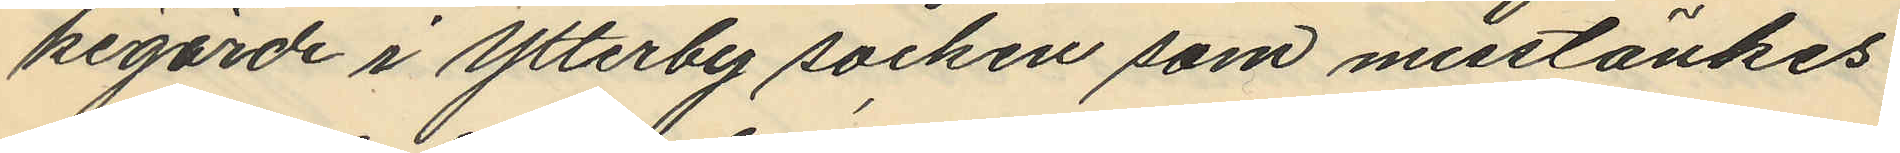kegärde i Ytterby socken som misstänkes
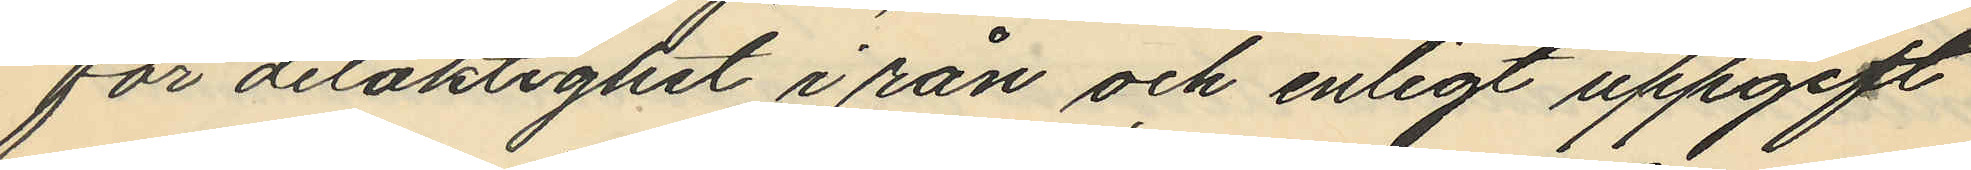för delaktighet i rån och enligt uppgift
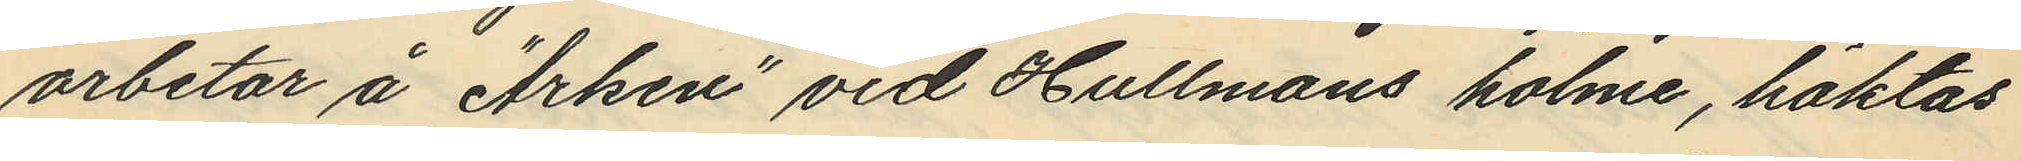arbetar å "Arken" vid Hullmans holme, häktas
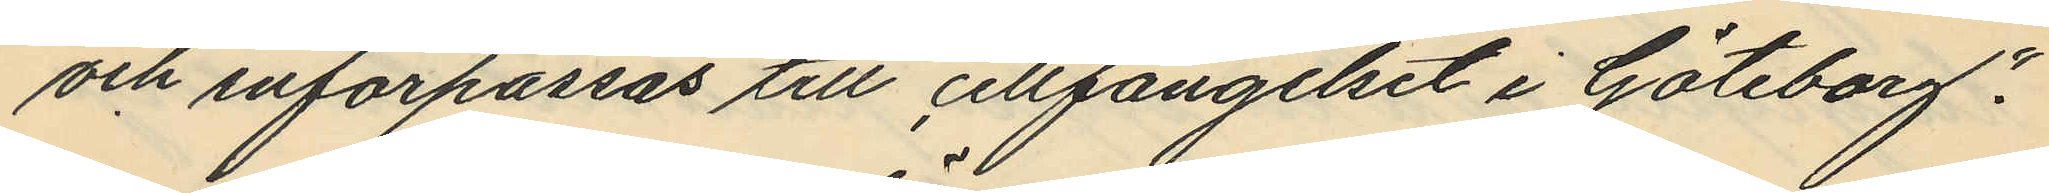och införpassas till cellfängelset i Göteborg".
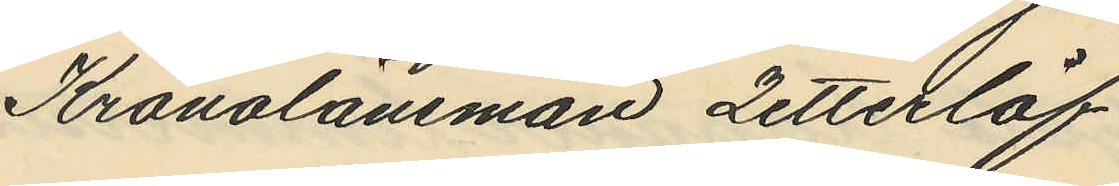Kronolänsman Zetterlöf
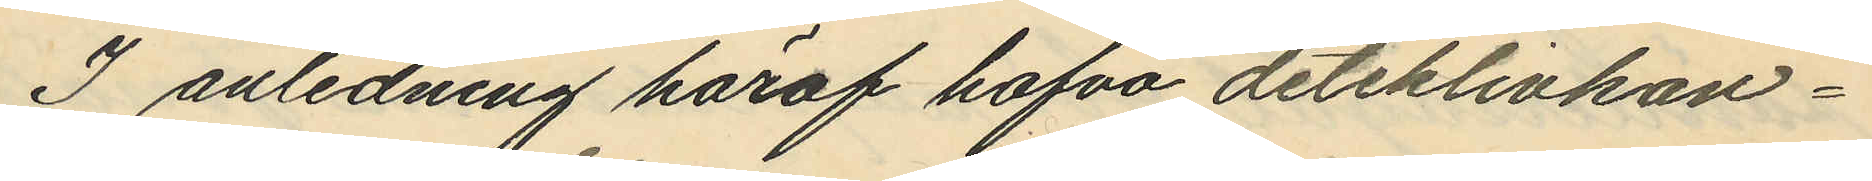I anledning häraf hafva detektivkon¬
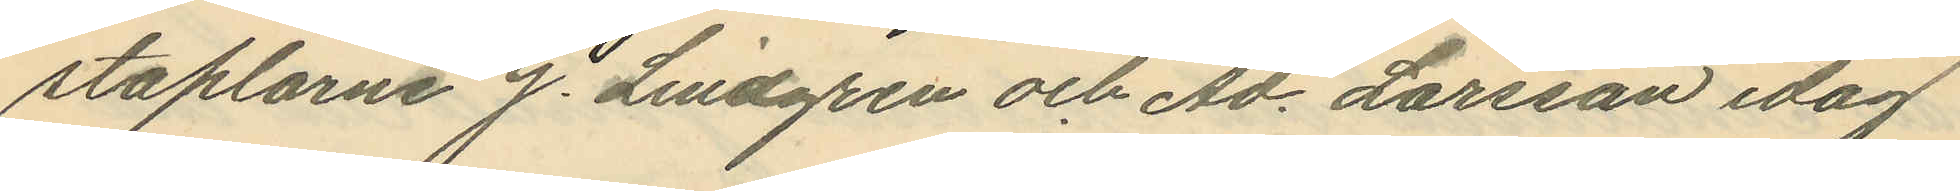staplarne J. Lindgren och Ad. Larsson idag
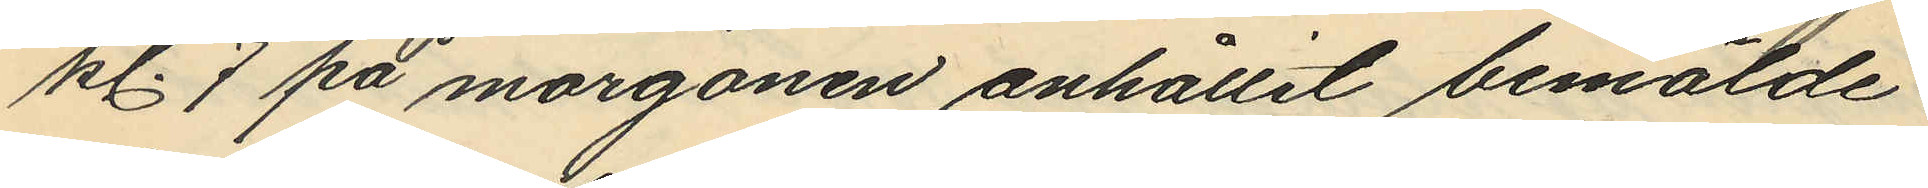kl. 7 på morgonen anhållit bemälde
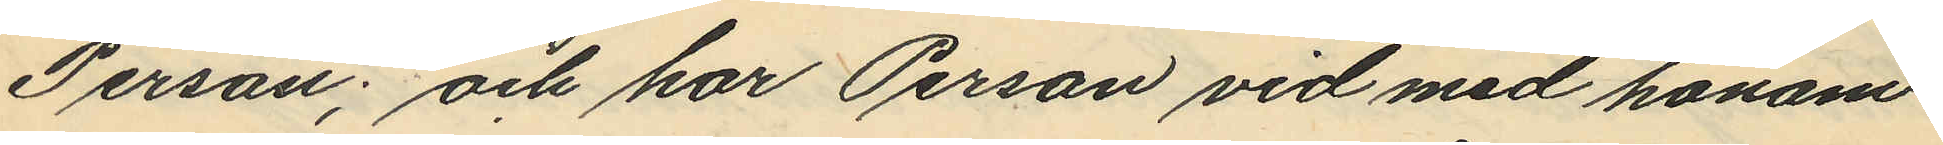Person; och har Person vid med honom
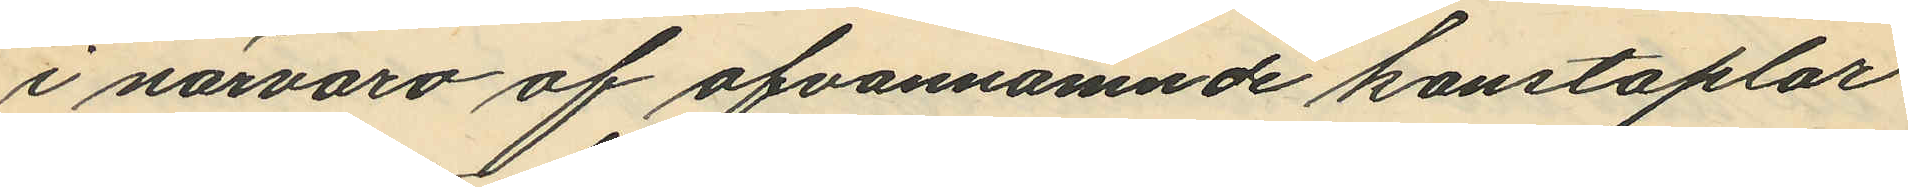i närvaro af ofvannämnde konstaplar
